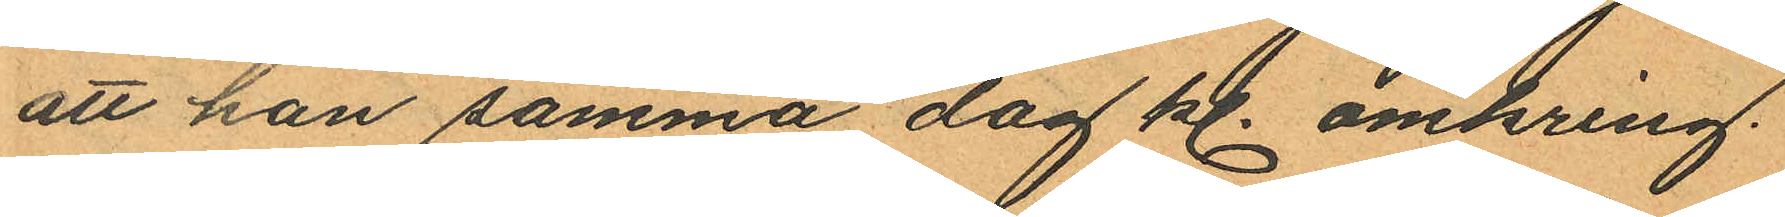att han samma dag kl. omkring
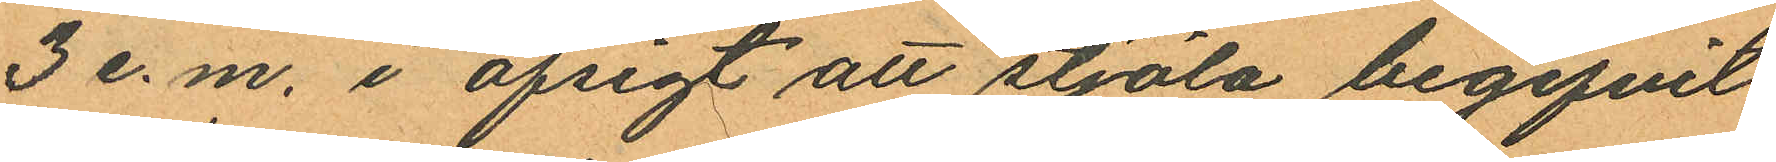3 e.m. i afsigt att stjäla begifvit
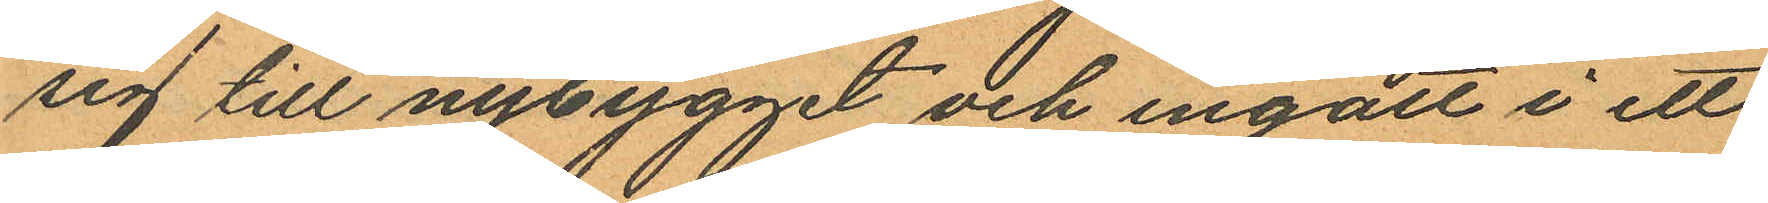sig till nybygget och ingått i ett
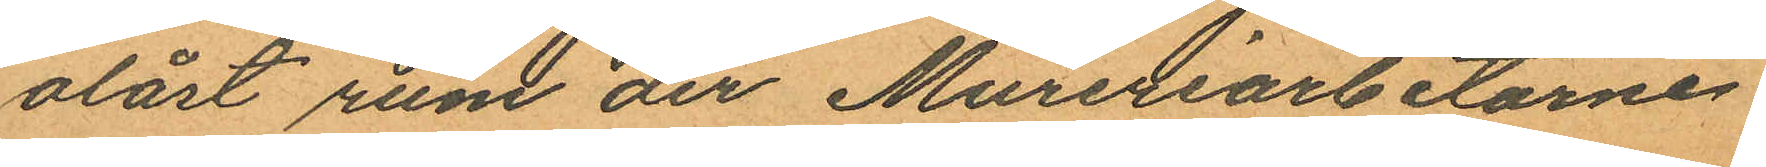olåst rum der Mureriarbetarne
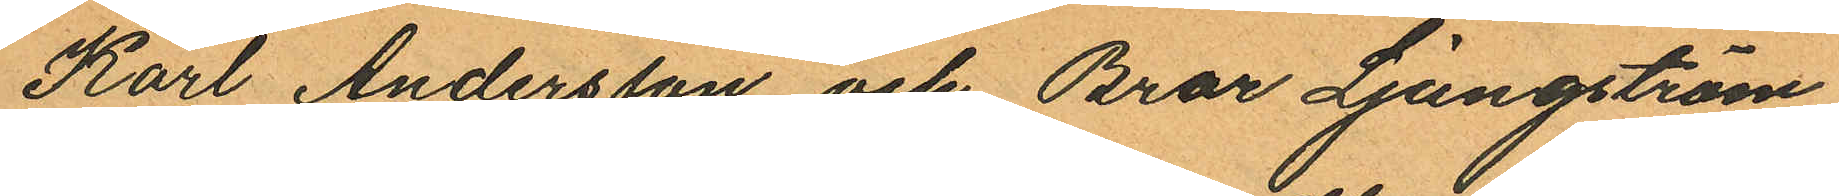Karl Andersson och Bror Ljungström
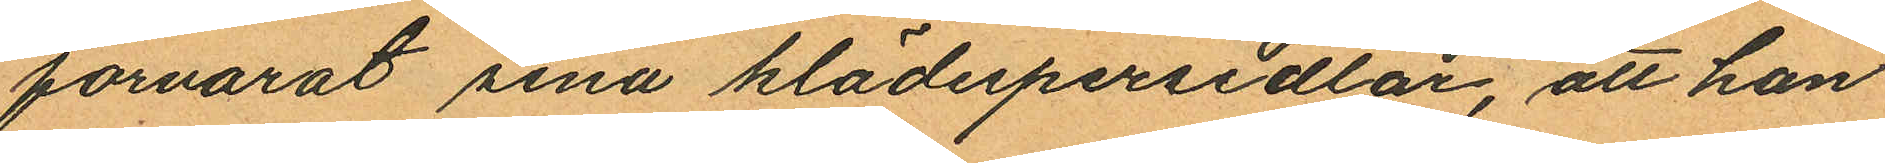förvarat sina klädespersedlar, att han
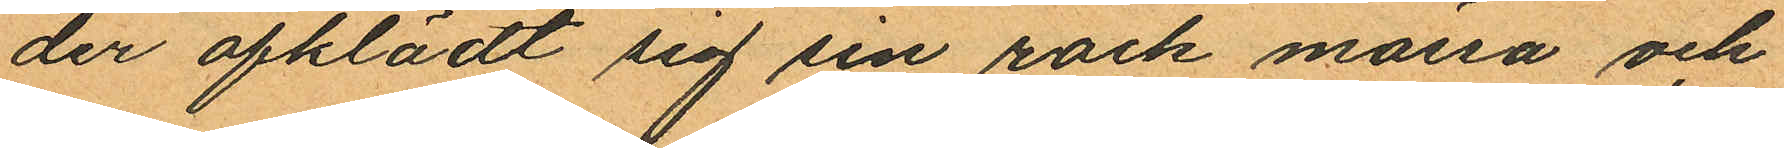der afklädt sig sin rock mössa och
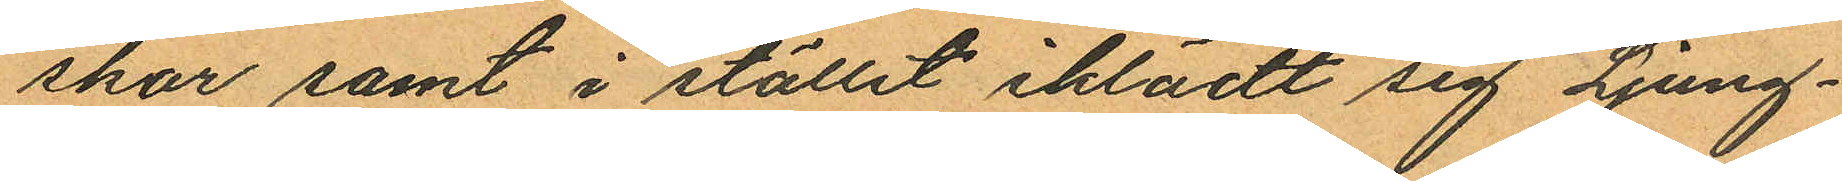skor samt i stället iklädt sig Ljung¬
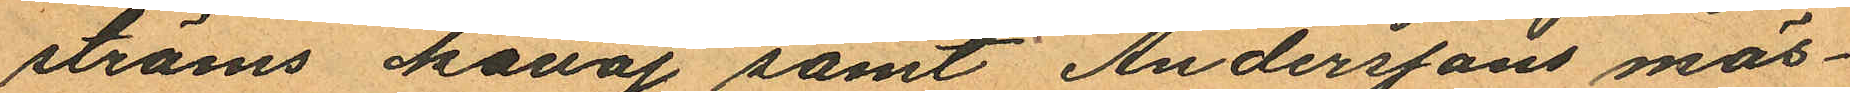ströms kavaj samt Anderssons mös¬
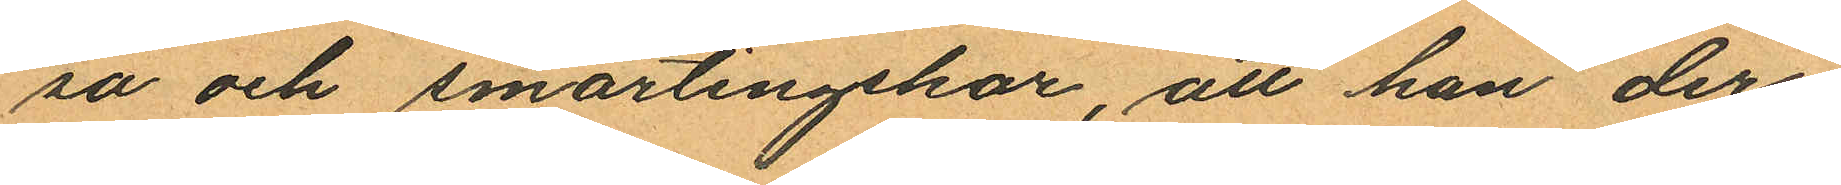sa och smärtingskor, att han der
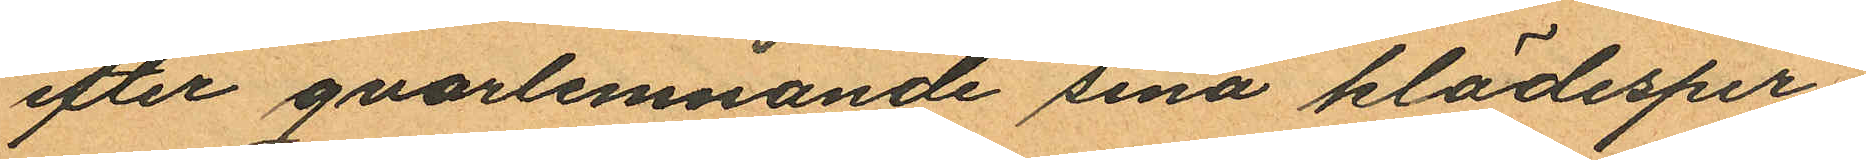efter qvarlemnande sina klädesper¬
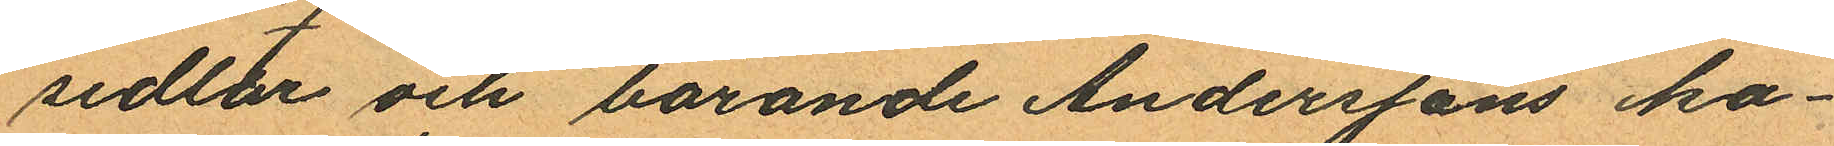sedlar och bärande Anderssons ka¬
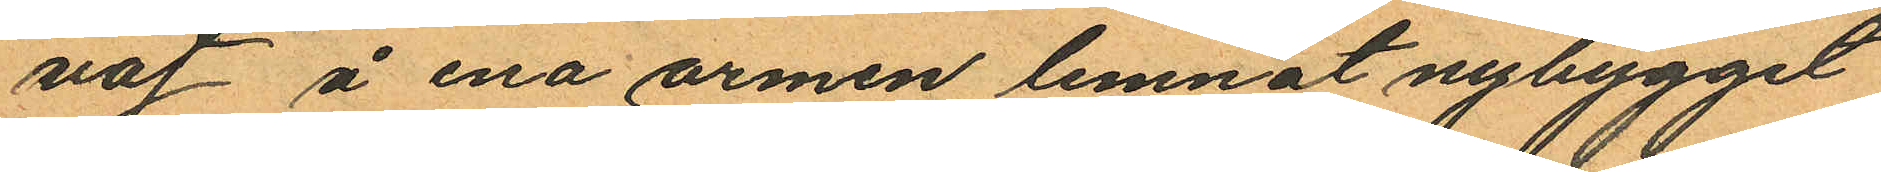vaj å ena armen lemnat nybygget
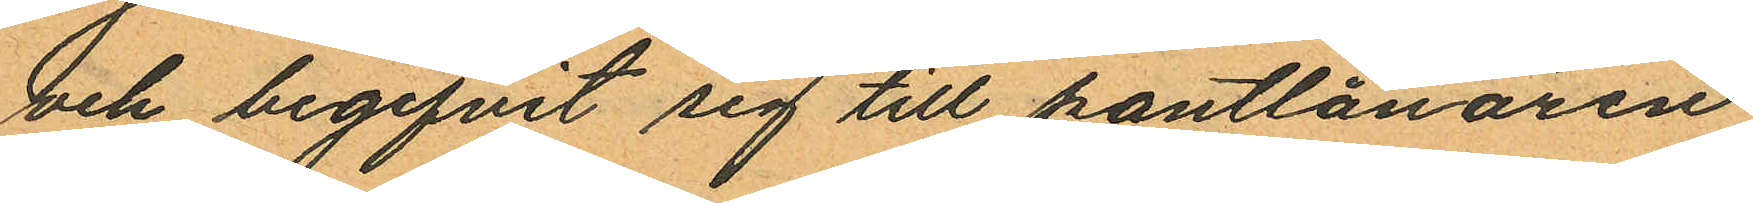och begifvit sig till pantlånaren
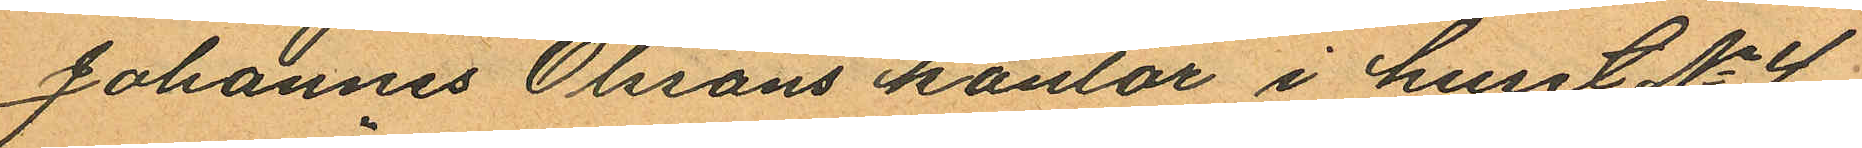Johannes Olssons kontor i huset No 4
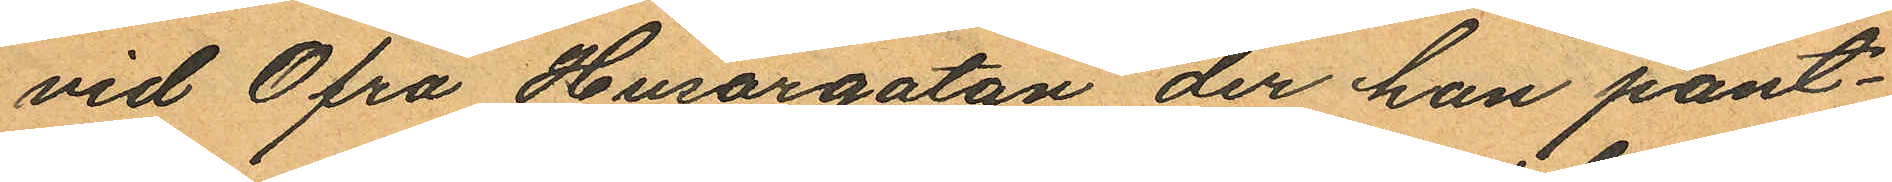vid Öfra Husargatan der han pant¬
